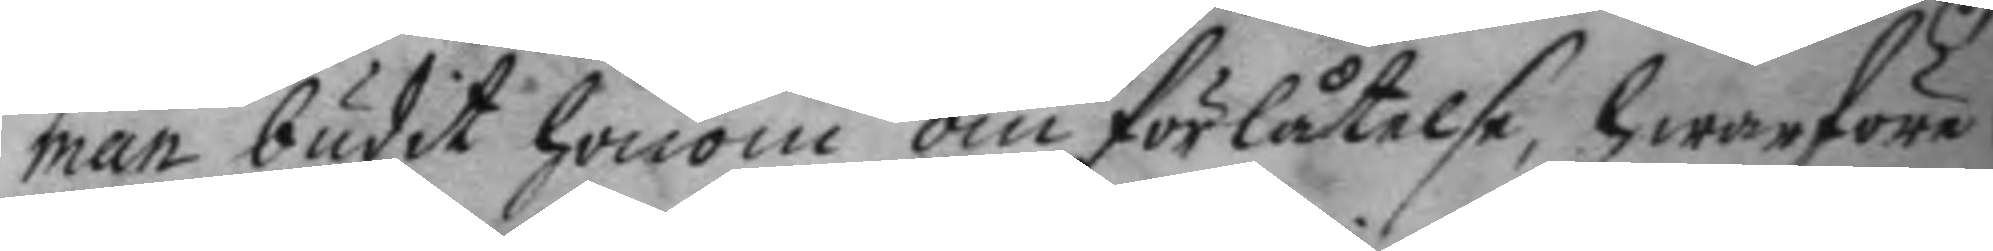man budit honom om förlåtelse. hwarföre
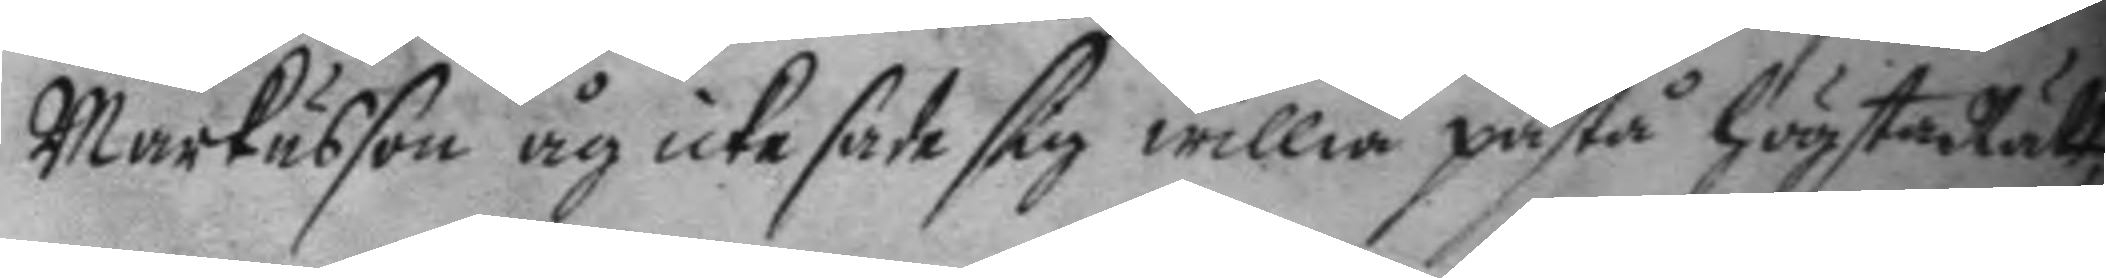Markusson åg icke sade sig willia påstå högsta Rätt,
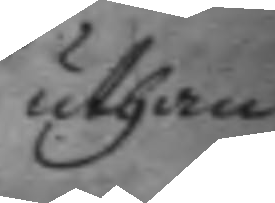uthan
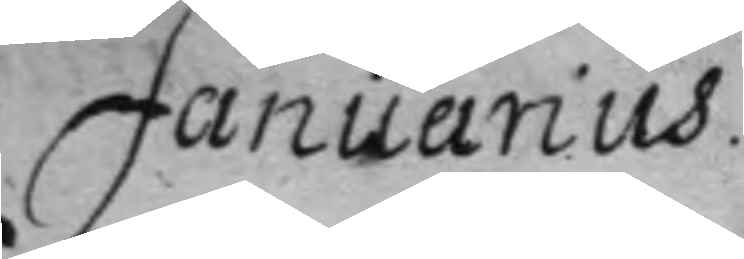Januarius.
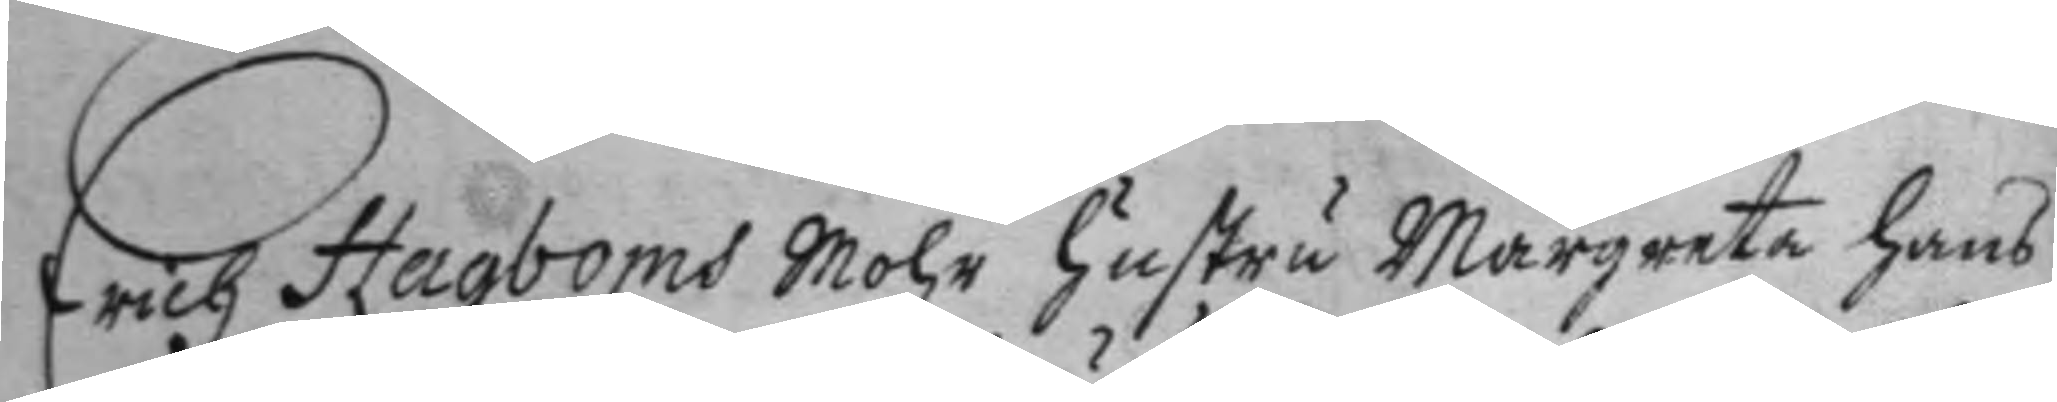Erich Hagboms mohr hustru Margareta hans¬
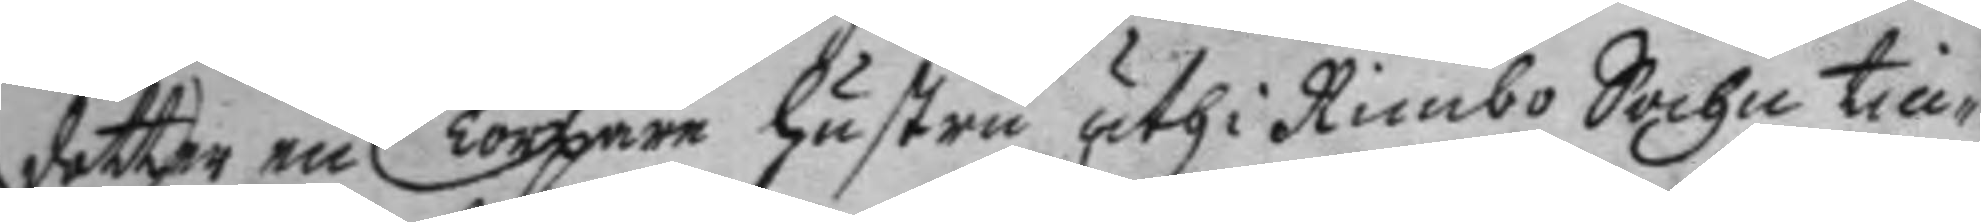dotter en Torpare hustru uthi Rimbo Sochn till¬
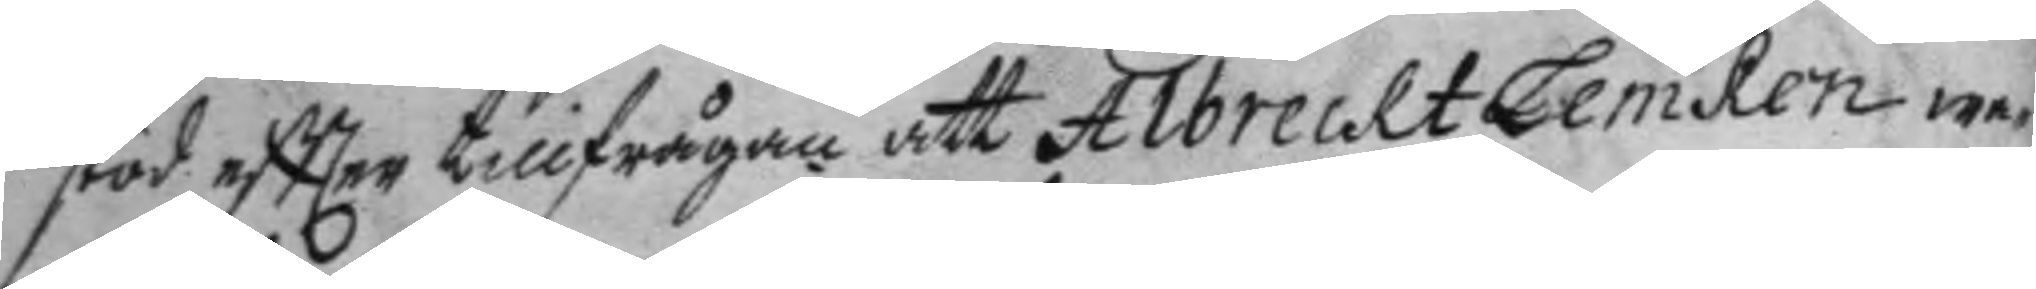stod eftter tillfrågan att Albrecht Lemken wa¬
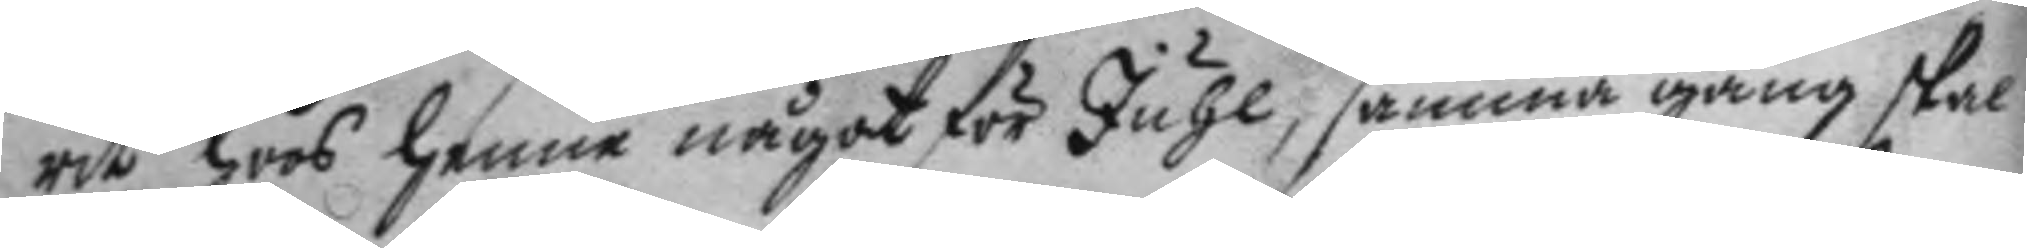rit hoos henne något för Juhl, samma gång skal
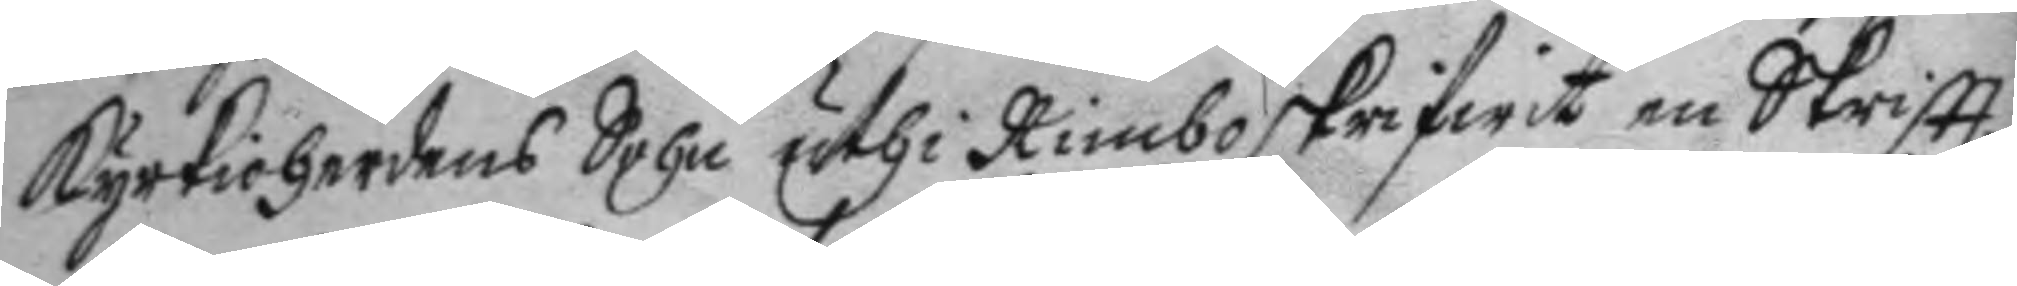kyrkioherdens Sohn uthi Rimbo skrifwit en Skriftt
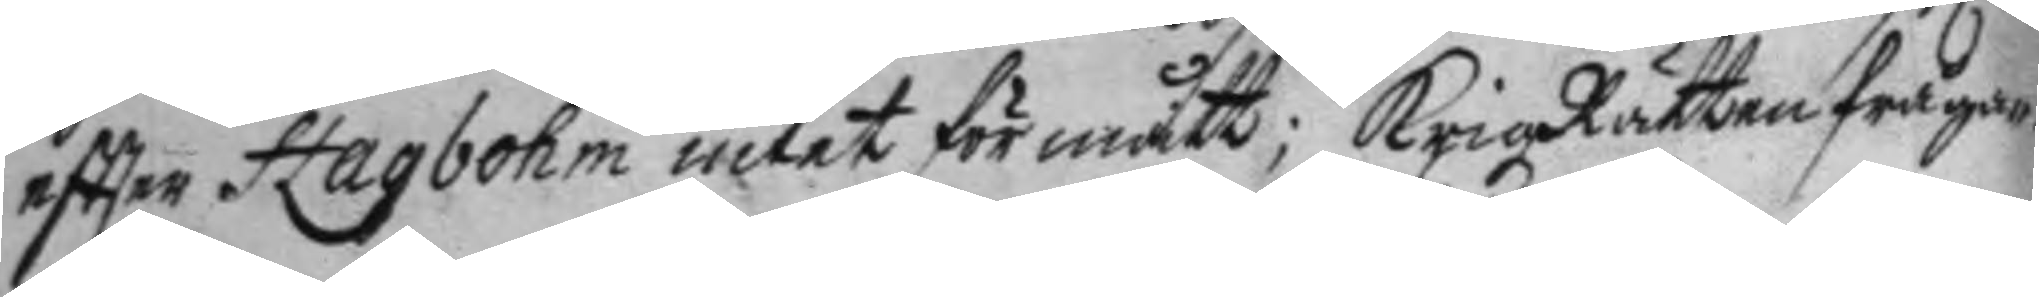eftter Hagbohm intet förmått; Krigz Rätten fråga¬
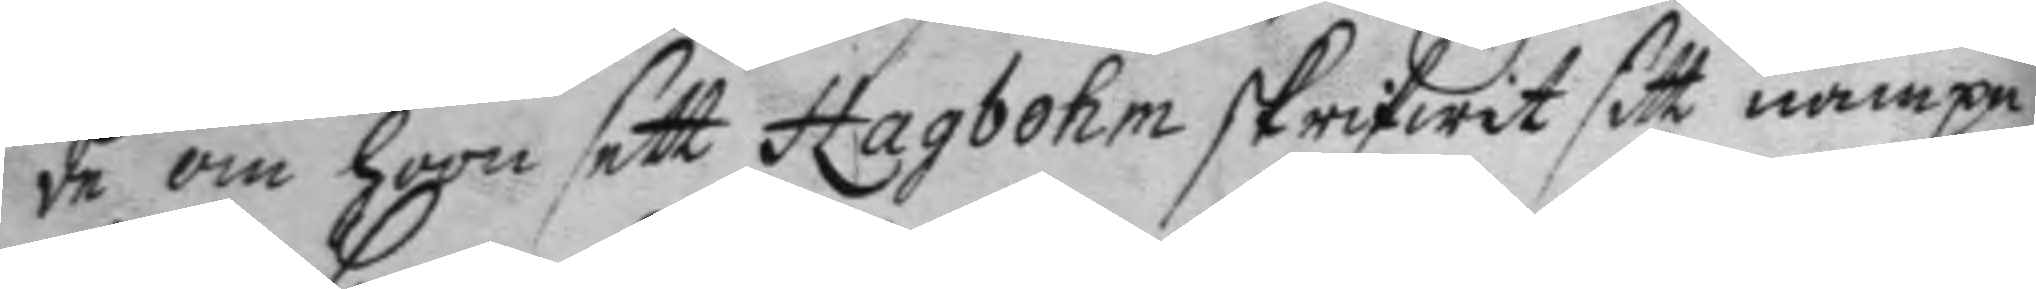de om hoon sett Hagmohm skrifwit sitt nampn
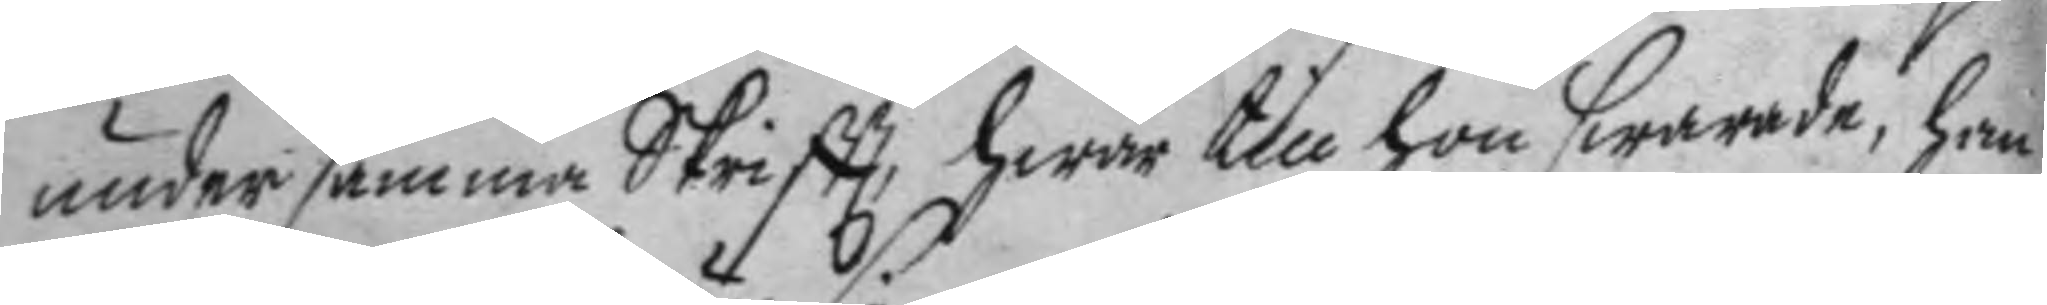under samma Skrift, hwar till hon swarade, han
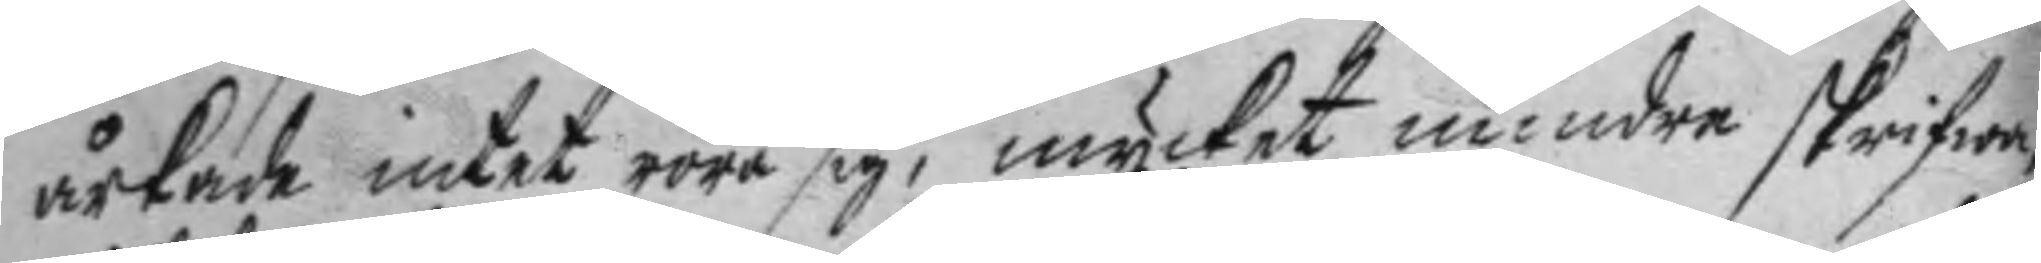årkade intet röra sig, mycket mindre skrifwa,
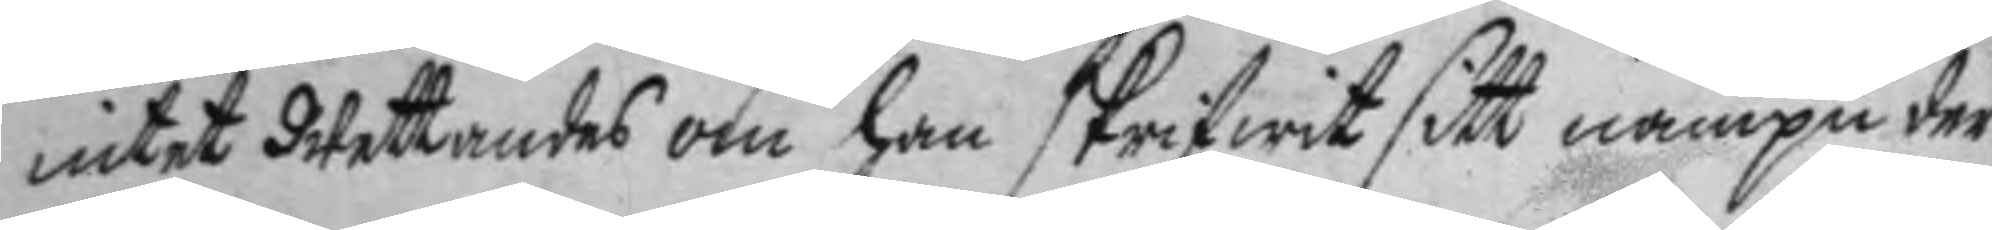intet Wettandes om han skrifwit sitt nampn der
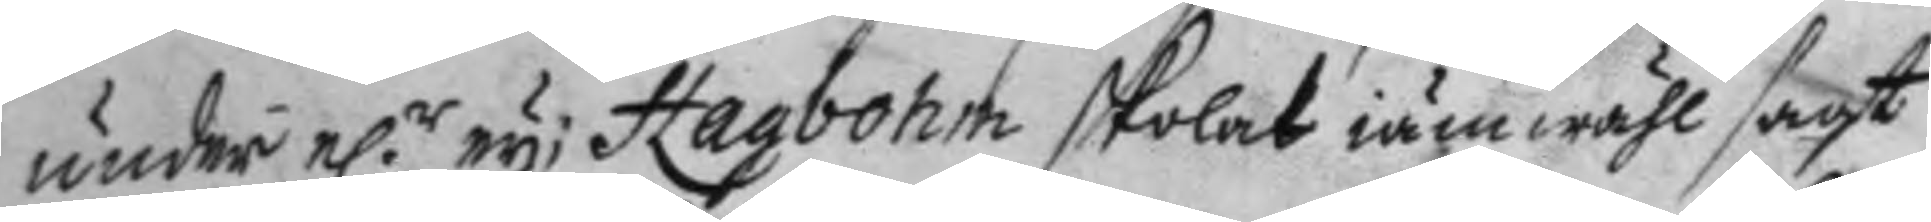under e.r ey; Hagbohm skolat iämwähl sagt
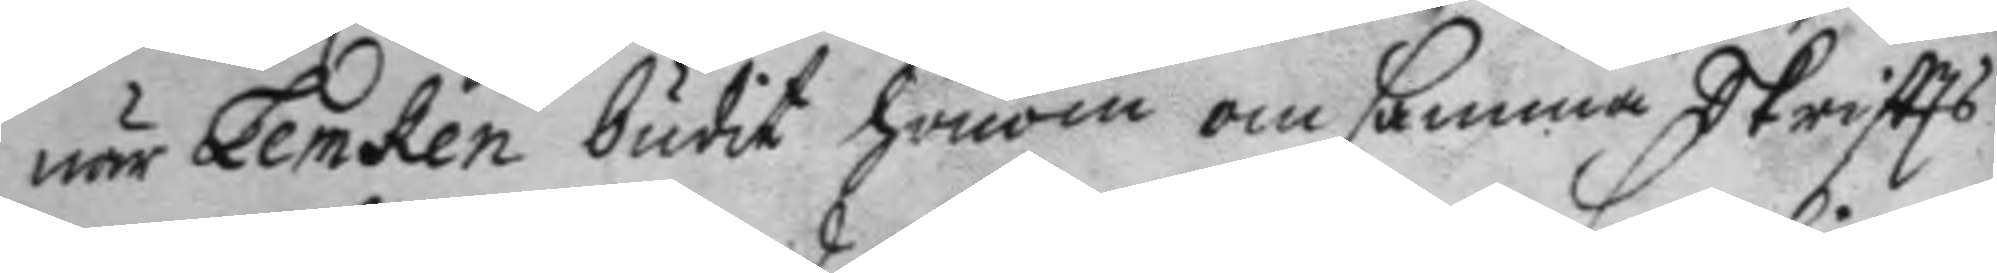när Lemken budit honom om samma Skriftts
